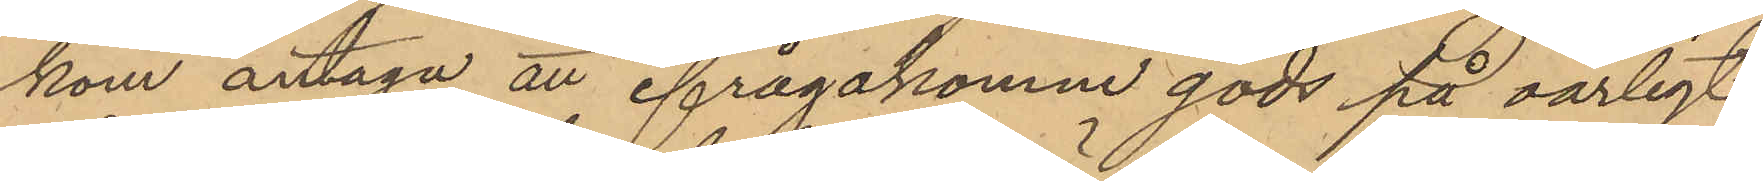kom antaga att ifrågakomne gods på oärligt
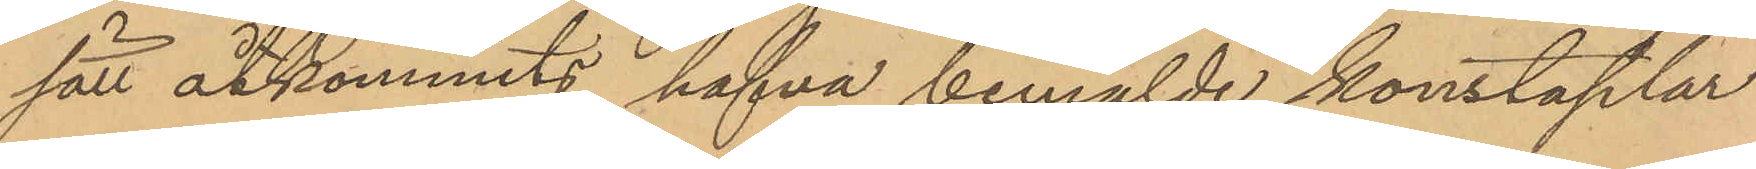sätt åtkommits hafva bemälde konstaplar
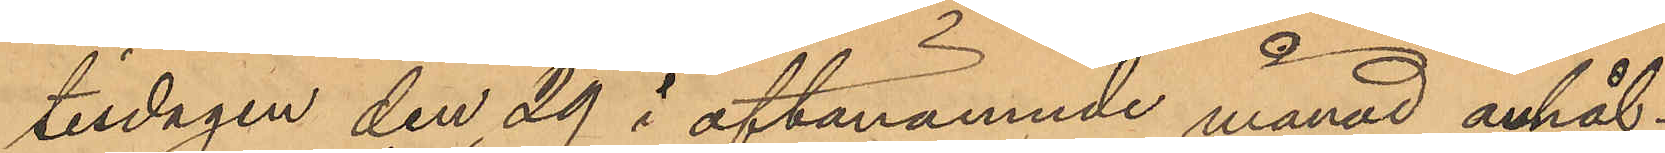tisdagen den 29 i oftanämnde månad anhål¬
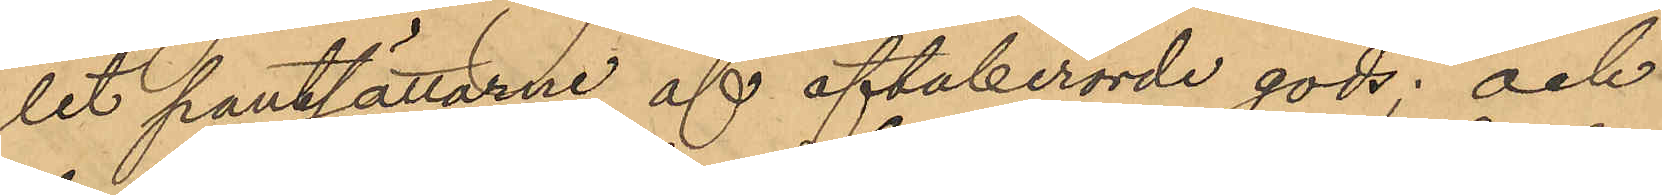lit pantsättarne af oftaberörde gods; och
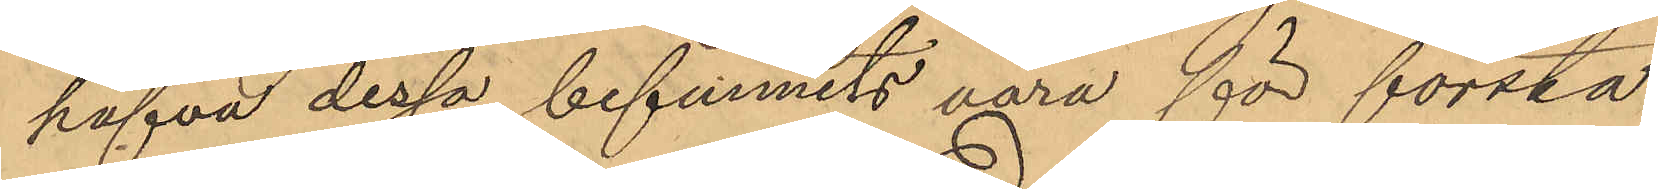hafva dessa befunnits vara för första
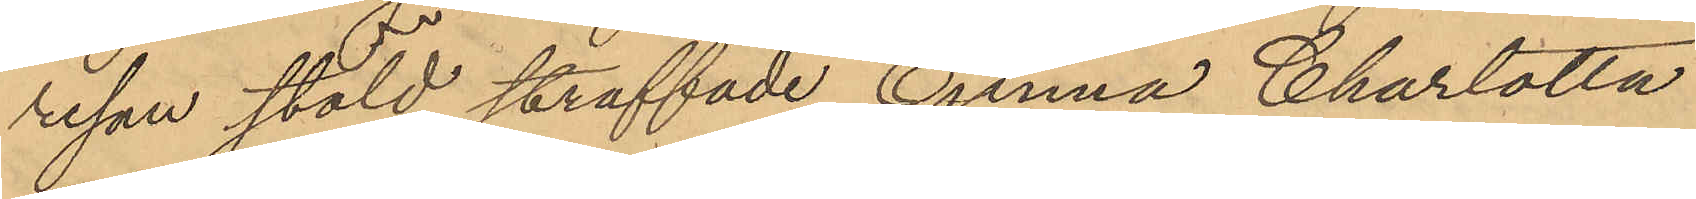resan stöld straffade Emma Charlotta
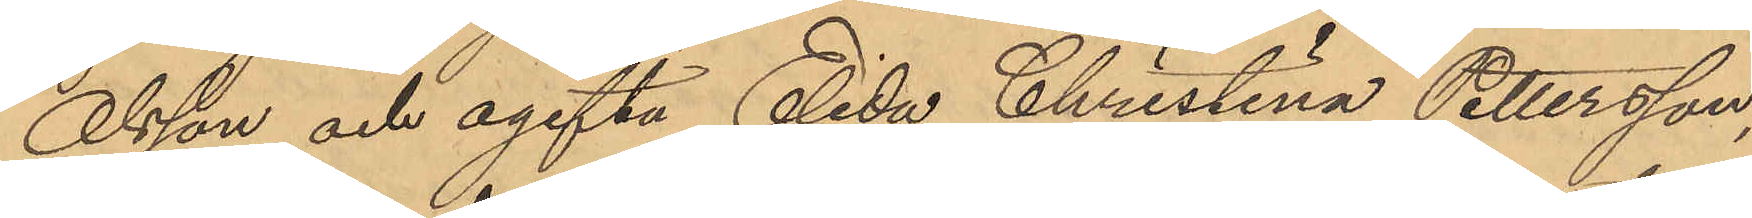Olsson och ogifta Elida Christina Pettersson,
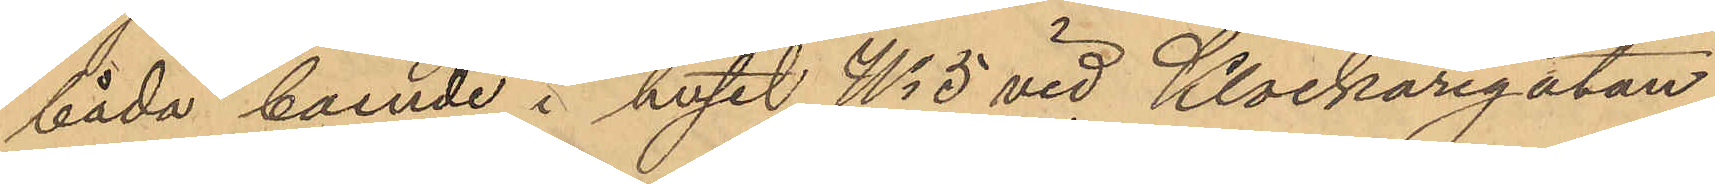båda boende i huset No 5 vid Klockaregatan
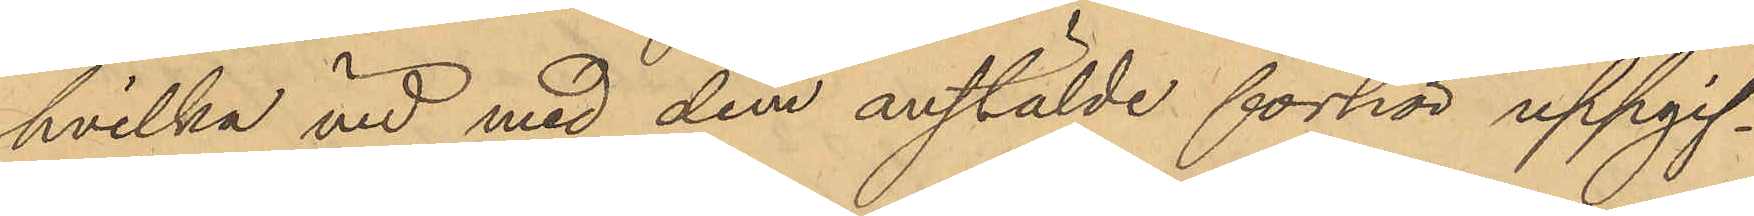hvilka vid med dem anstälde förhör uppgif¬
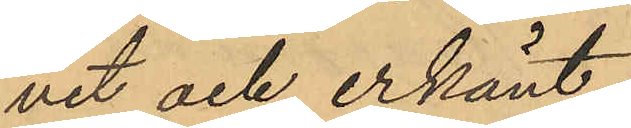vit och erkänt:
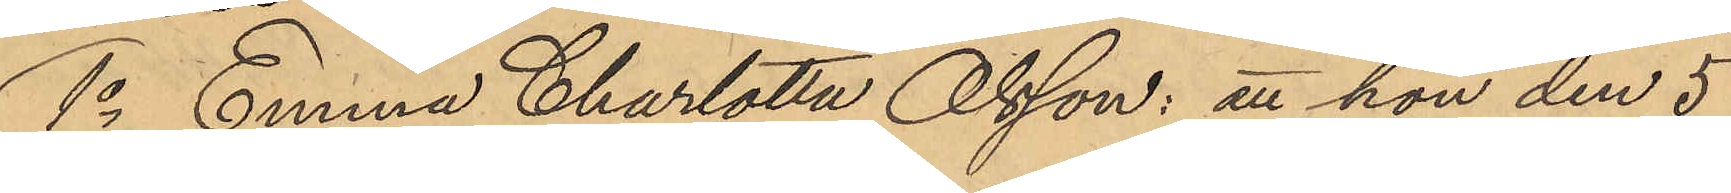1o Emma Charlotta Olsson: att hon den 5
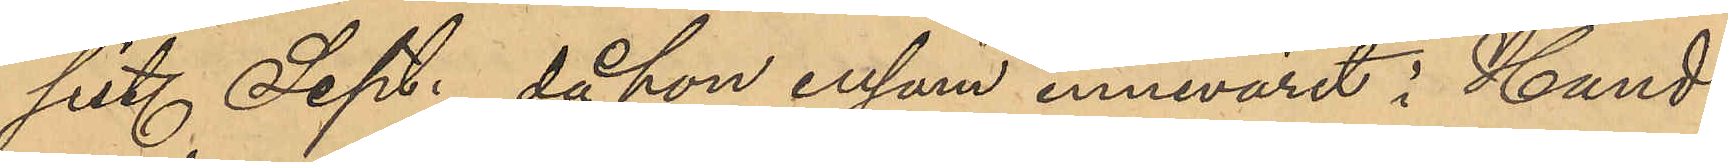sist. Sept. då hon ensam innevarit i Hand¬
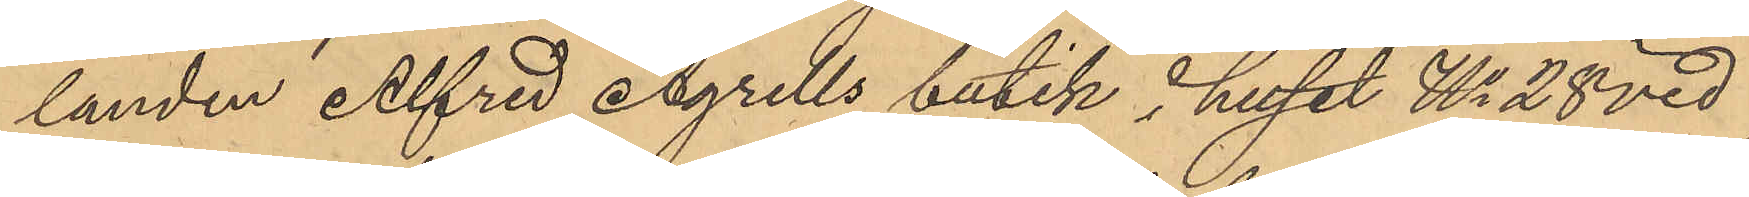landen Alfred Agrells butik i huset No 28 vid
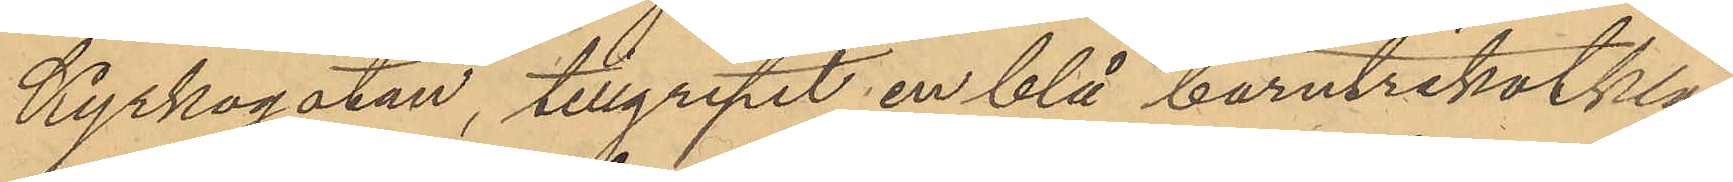Kyrkogatan, tillgripit en blå barntrikotkläd¬
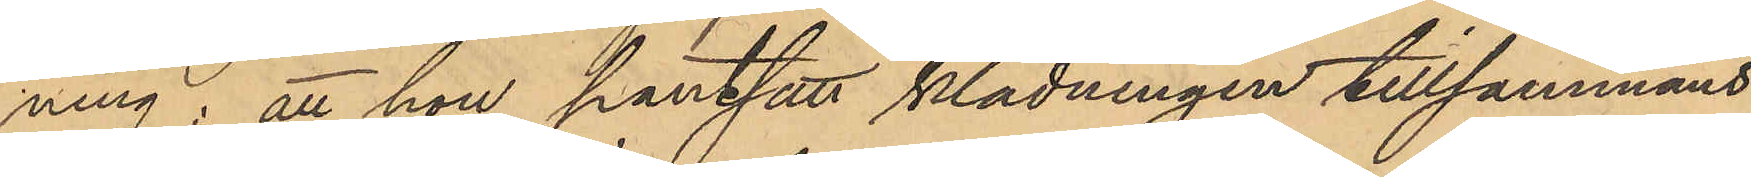ning; att hon pantsatt klädningen tillsammans
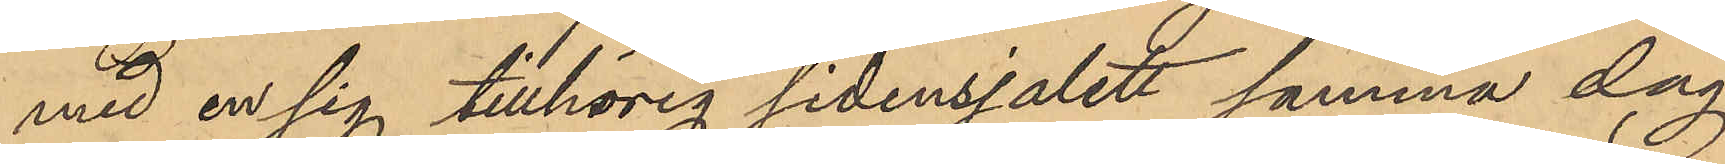med en sig tillhörig sidensjalett samma dag
